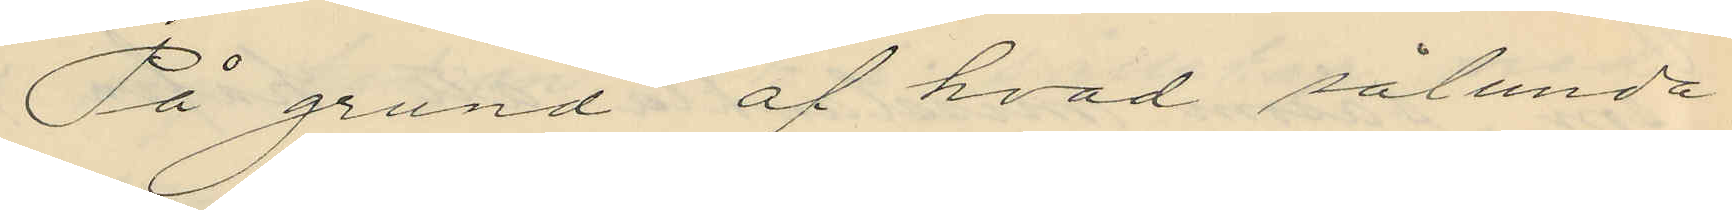På grund af hvad sålunda
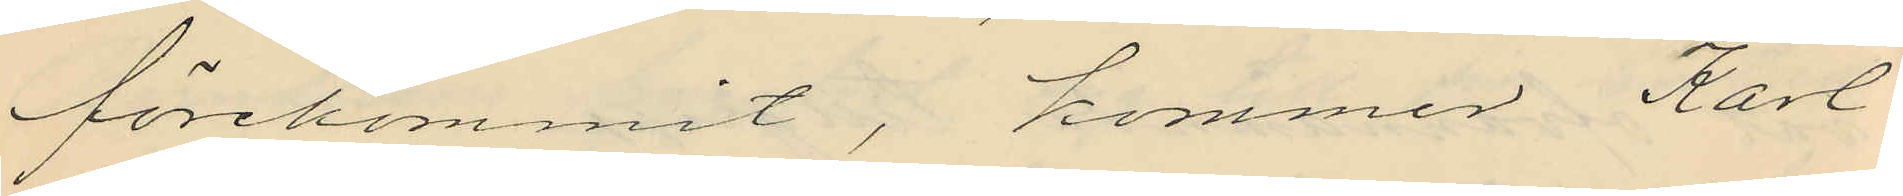förekommit, kommer Karl
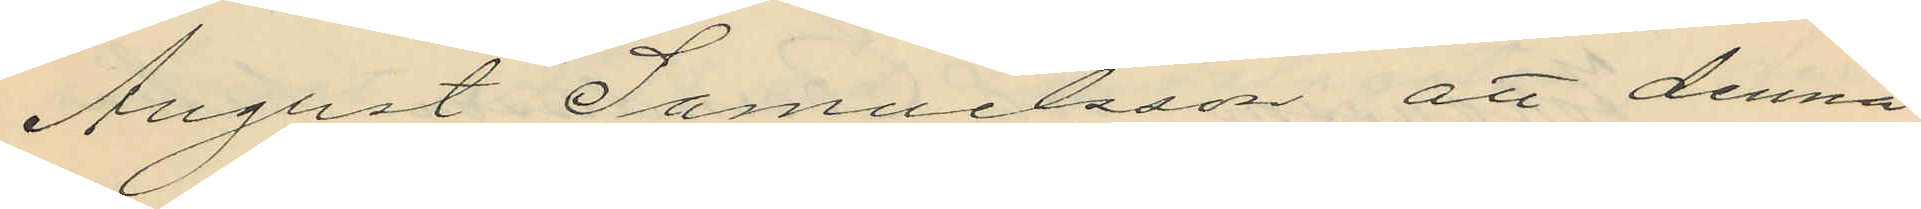August Samuelsson att denna
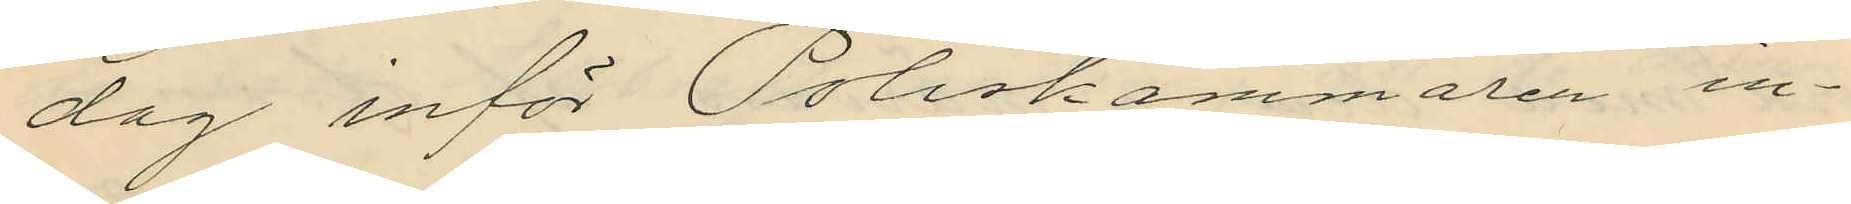dag inför Poliskammaren in¬
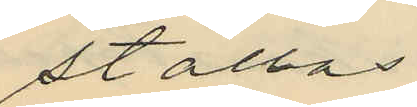ställas.
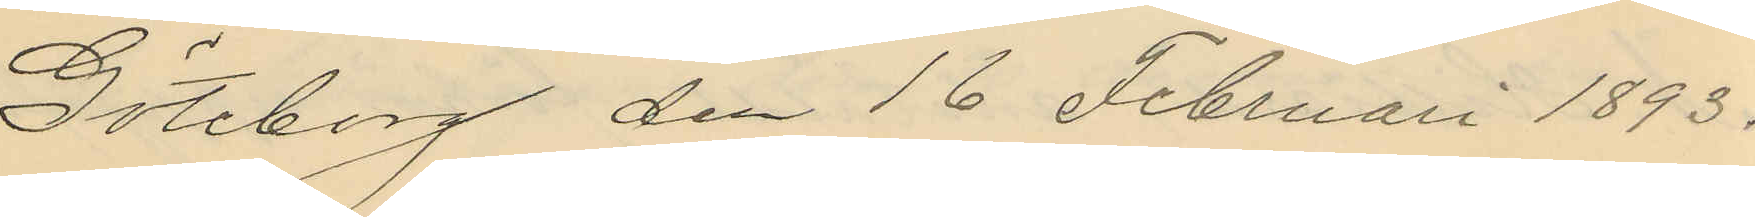Göteborg den 16 Februari 1893.
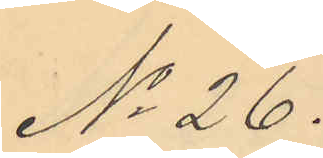No 26.
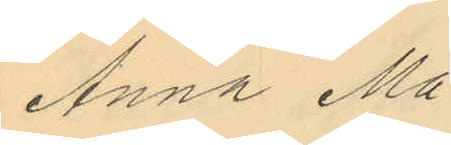Anna Ma¬
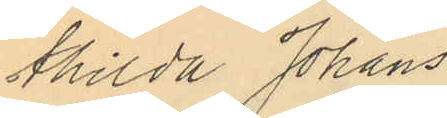thilda Johans¬
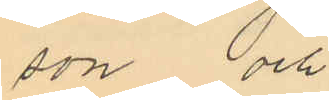son och
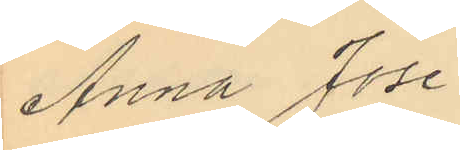Anna Jose¬
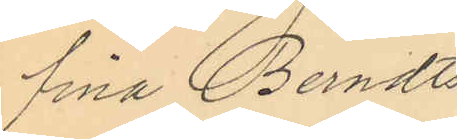fina Berndts¬
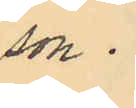son.
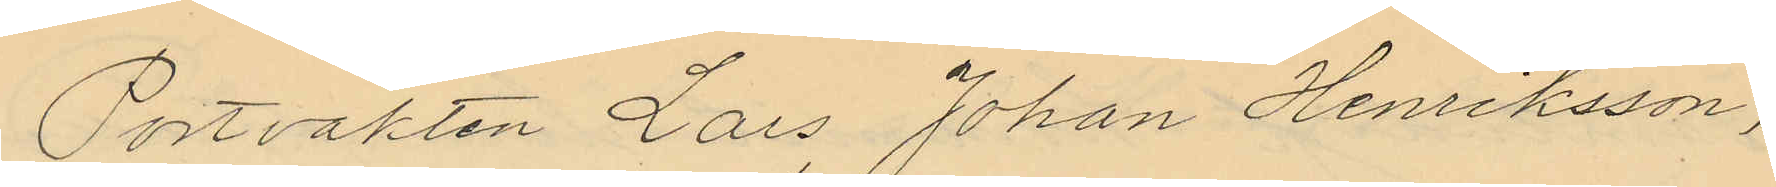Portvakten Lars Johan Henriksson,
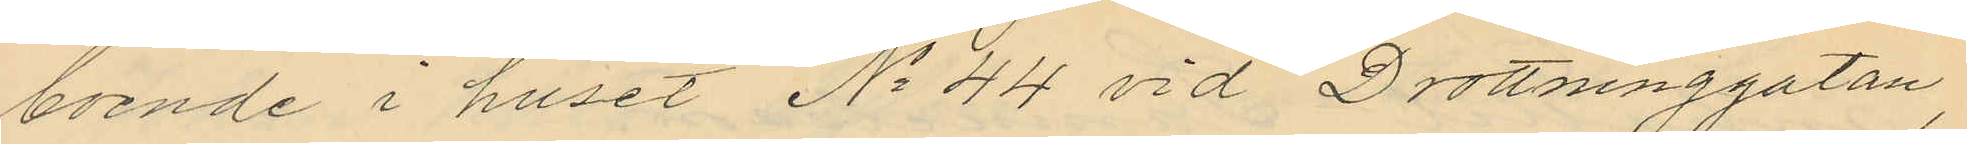boende i huset No 44 vid Drottninggatan,
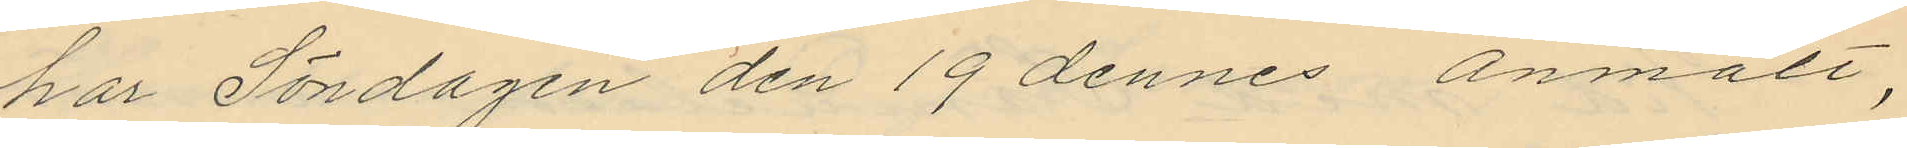har Söndagen den 19 dennes anmält,
